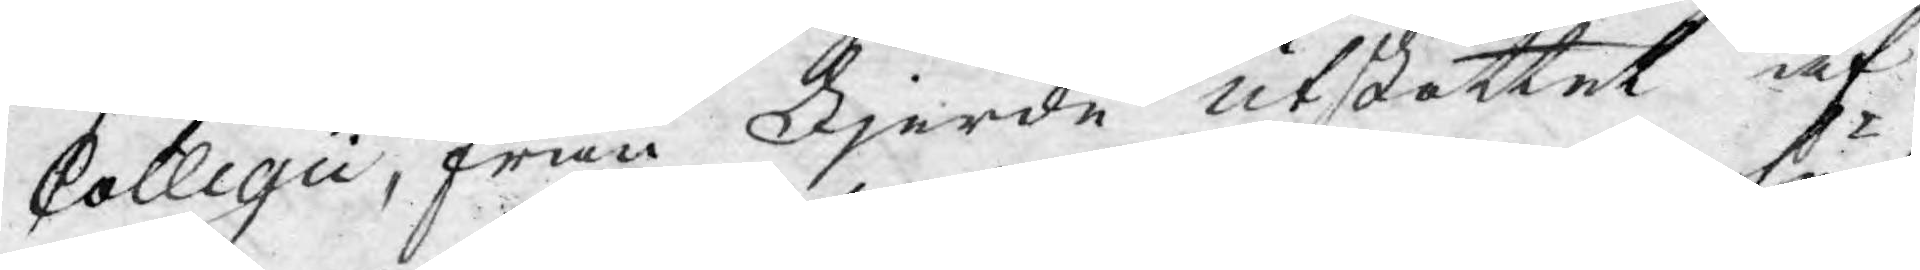Collegii, från Fjerde utskottet af
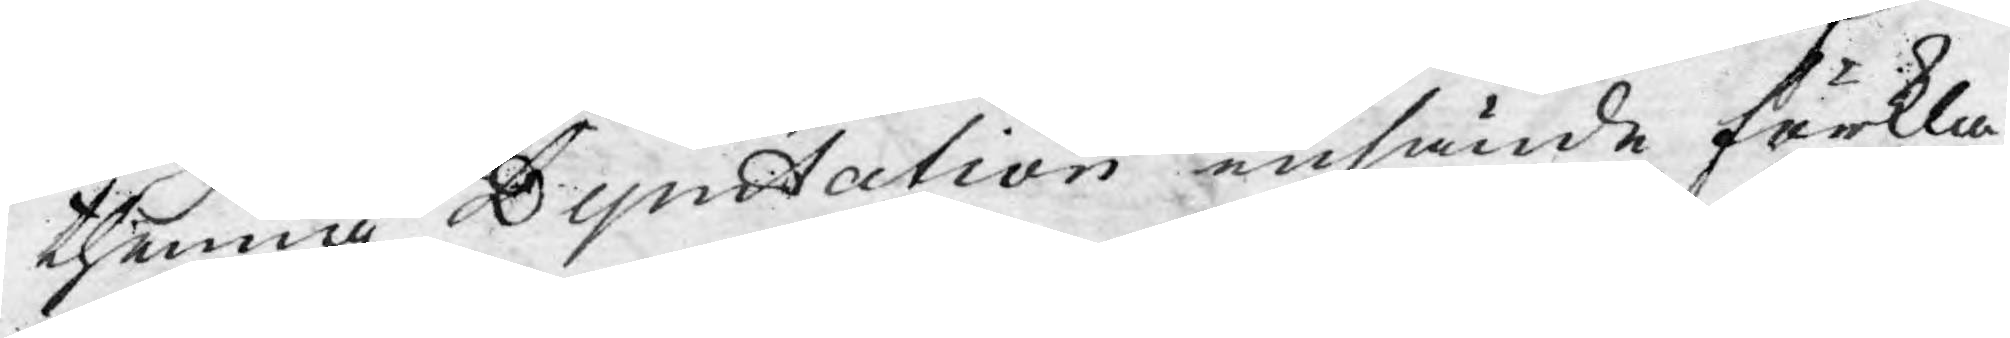thenna Deputation insände förkla¬
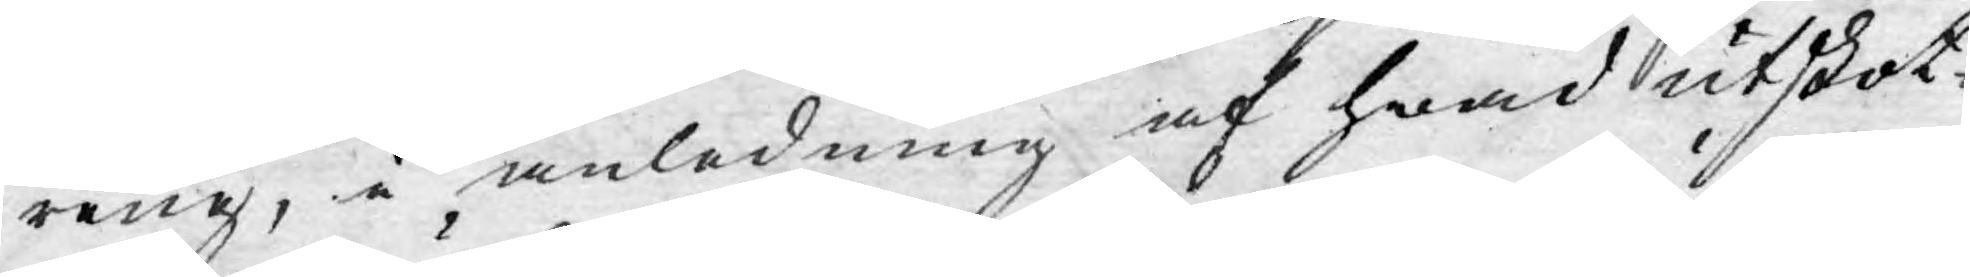ring, i anledning af hwad Utskot¬
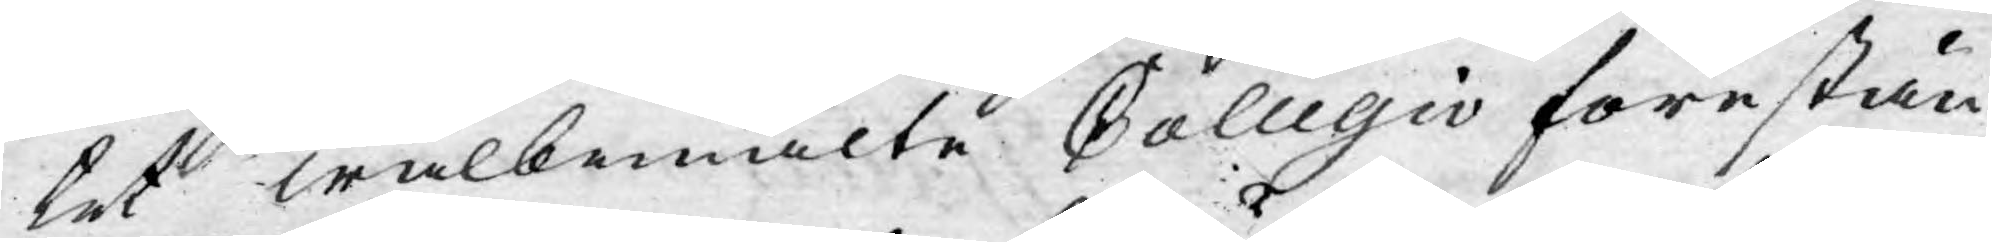tet wälbemälte Collegio förestän¬
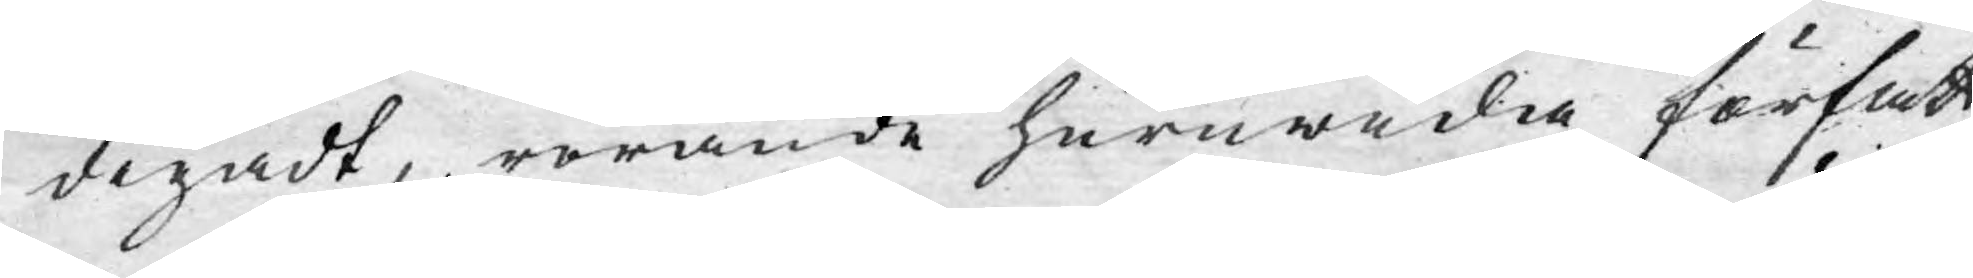digadt, rörande huruwida författ¬
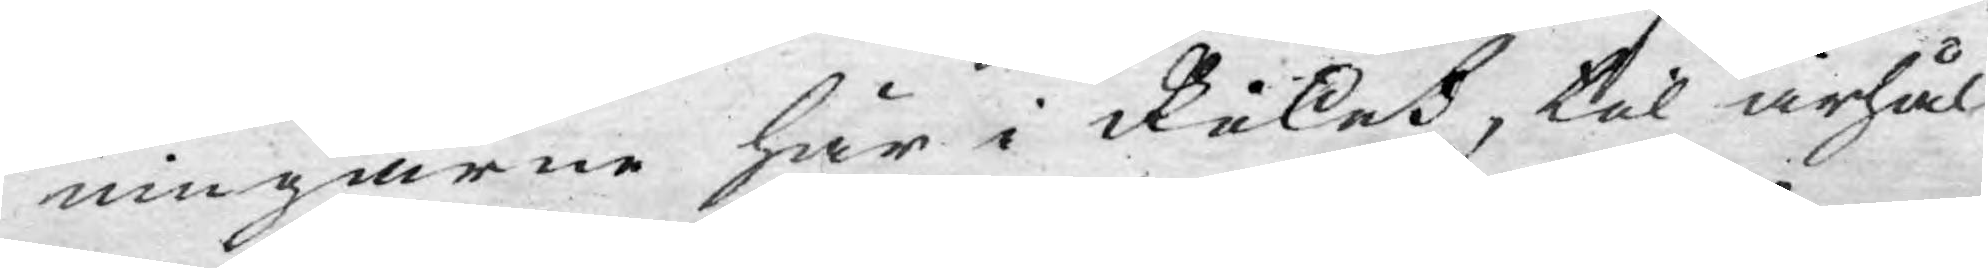ningarne här i Riket, til ärhål¬
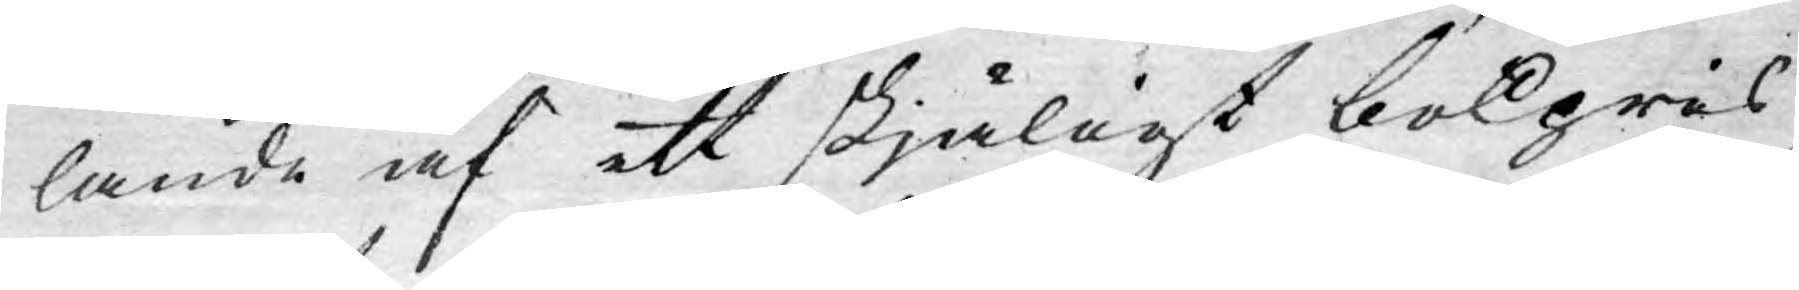lande af ett skjäligt bokpris,
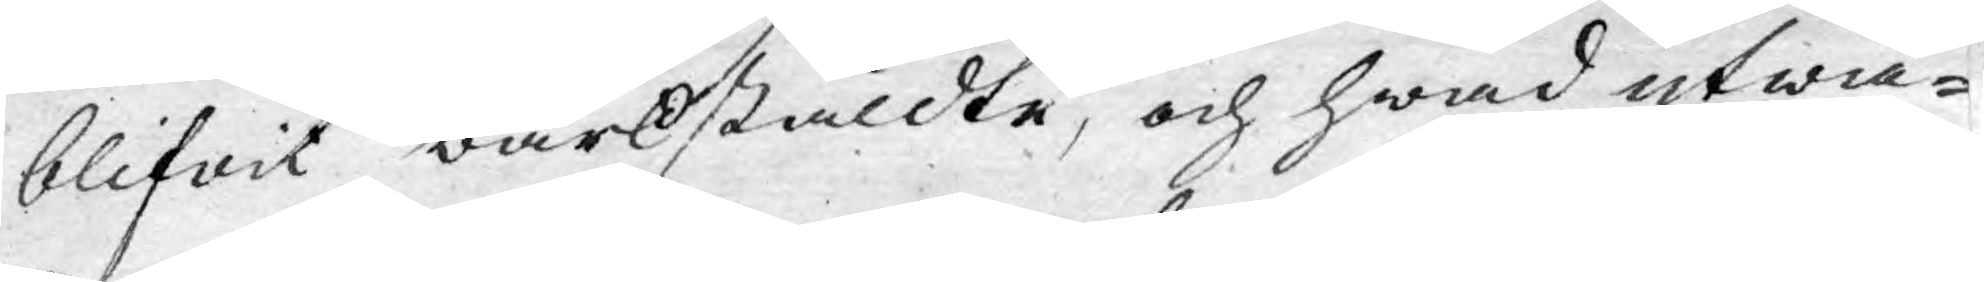blifwit wärkstäldte, och hwad utwä¬
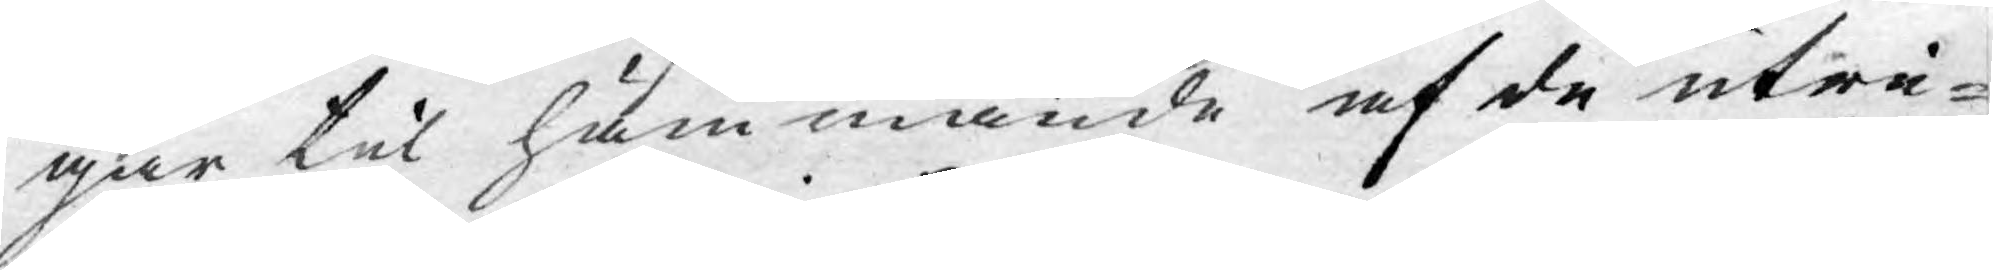gar til hämmande af de utri¬
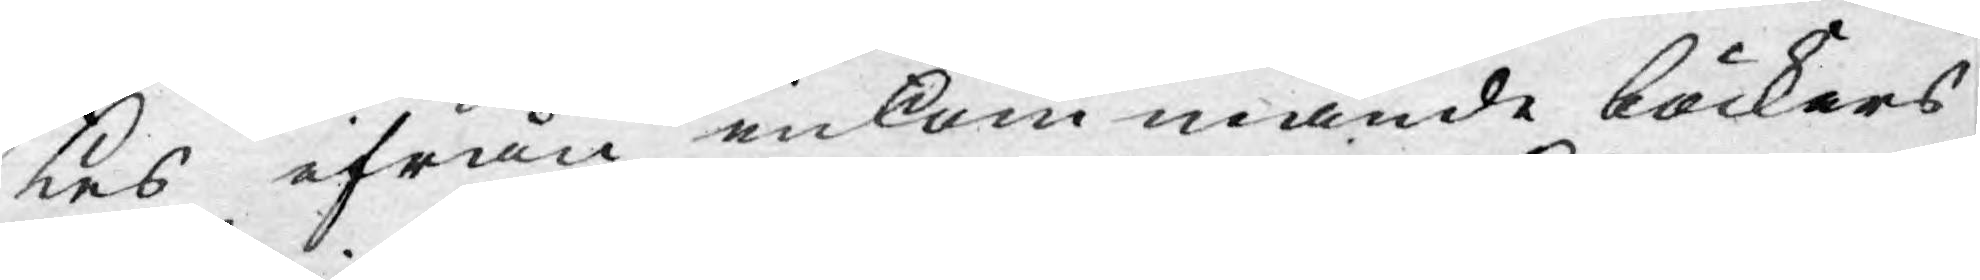kes ifrån inkommande böckers
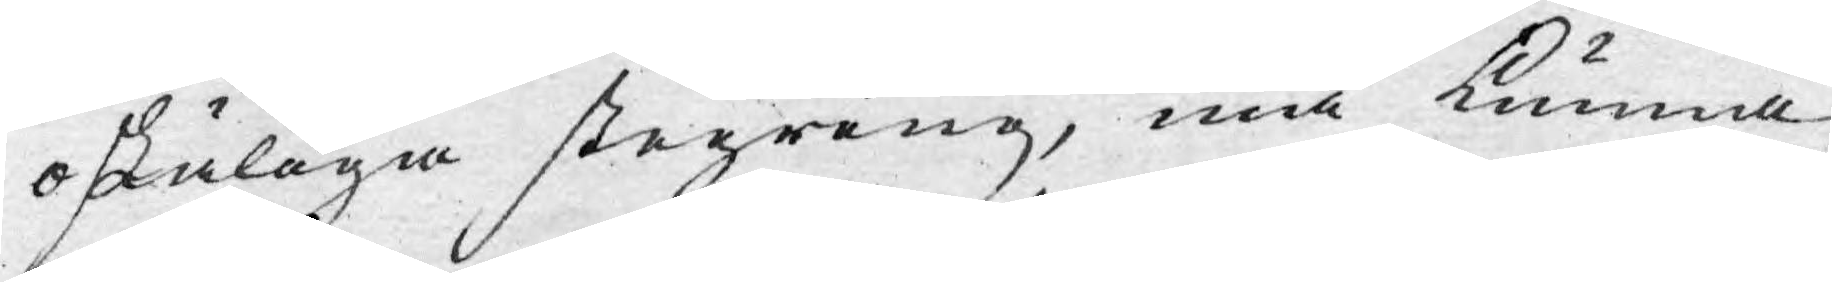oskäliga stegring, må kunna
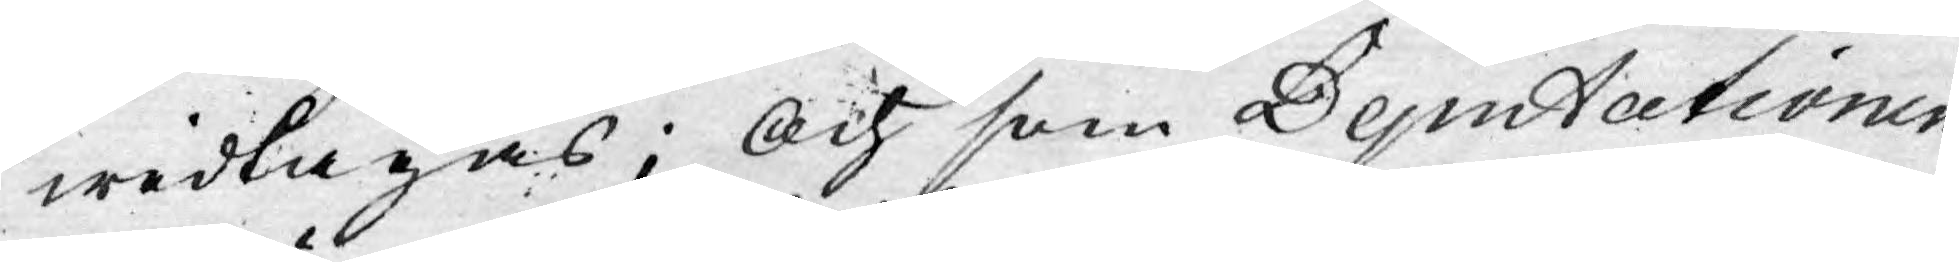widtagas; Och som Deputationen
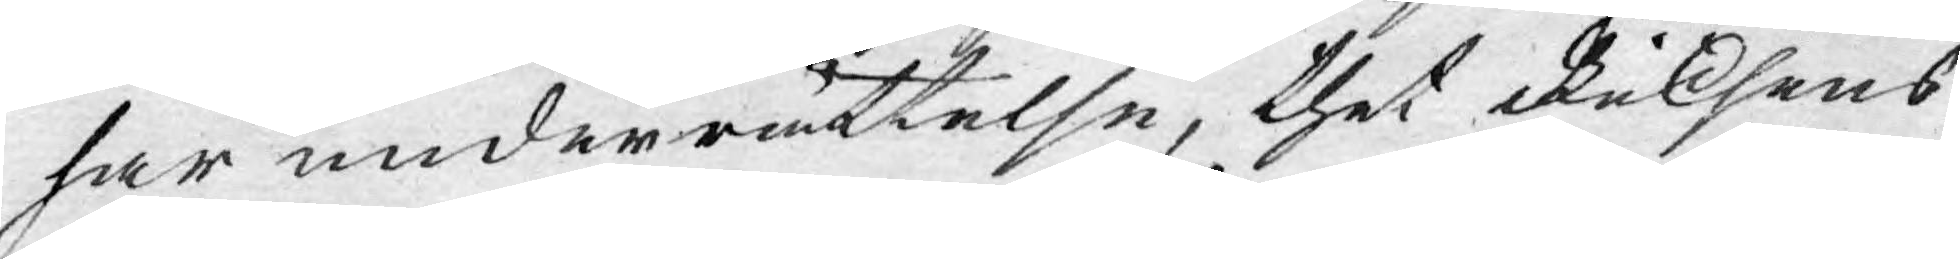har underrättelse, thet Riksens
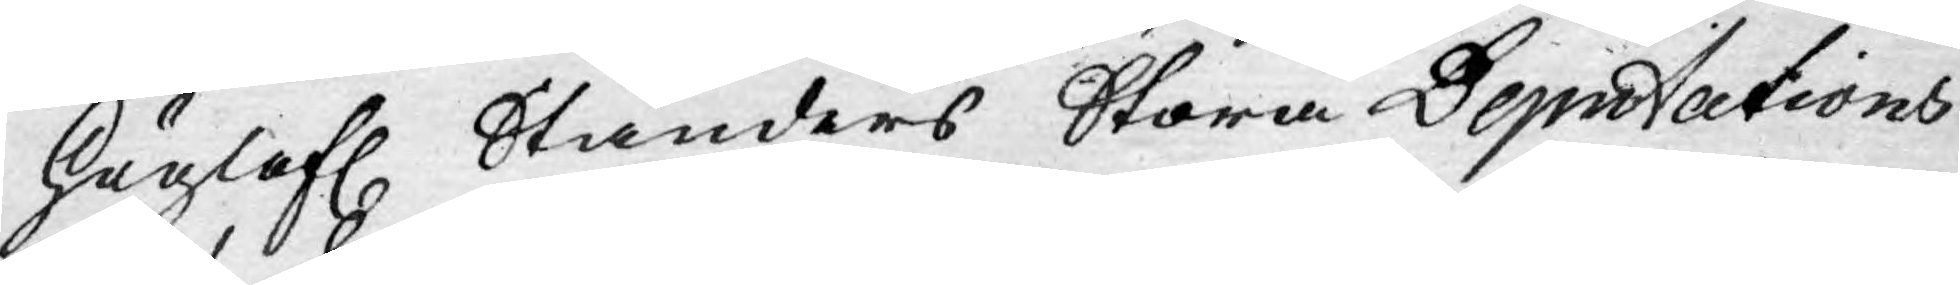Höglofl. Ständers Stora Deputations
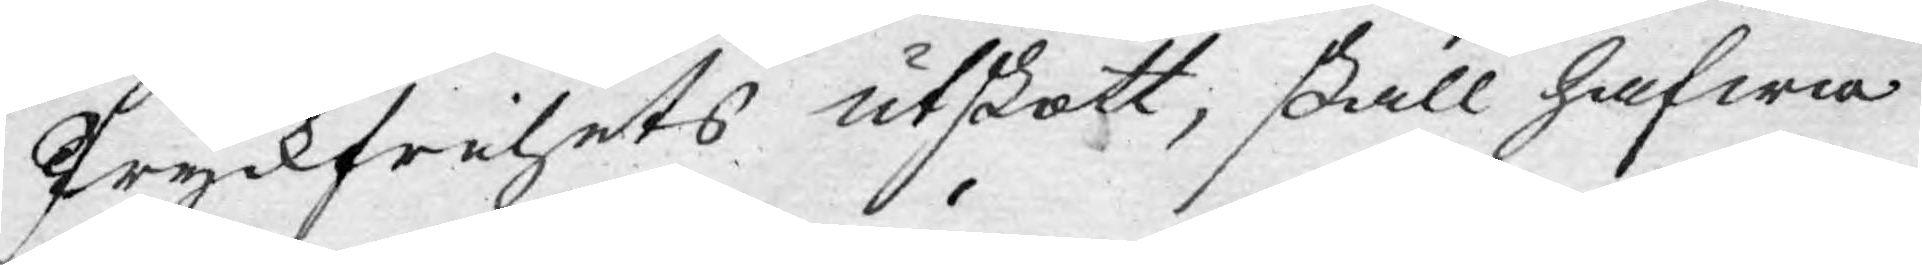Tryckfrihets Utskott, skall hafwa
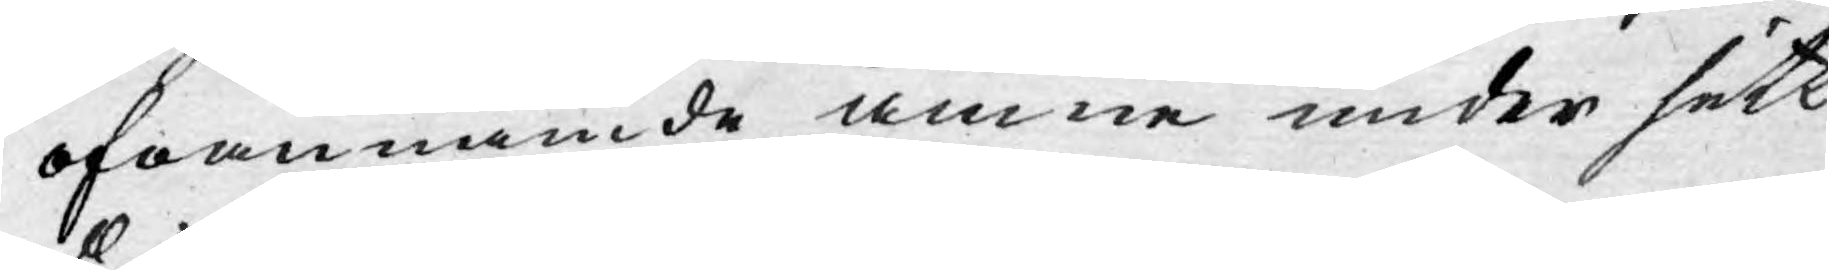ofvannämde ämne under sitt
